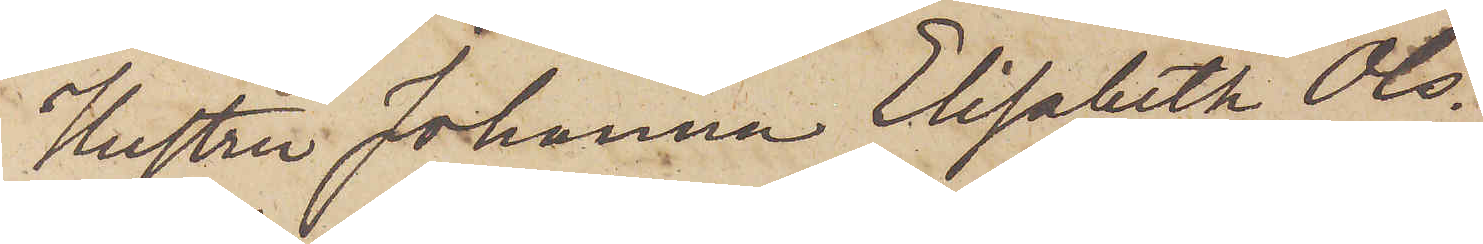Hustru Johanna Elisabeth Ols¬
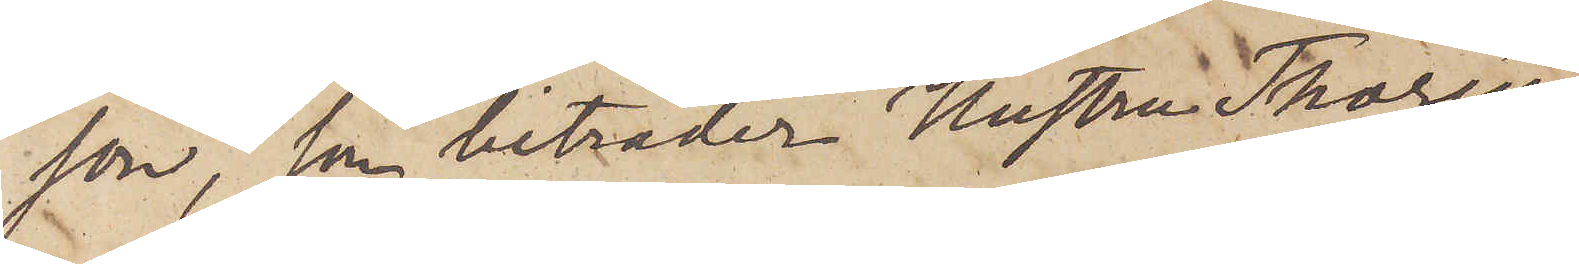son, som biträder Hustru Thorén
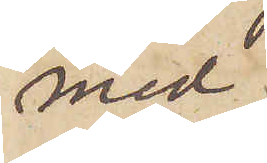med
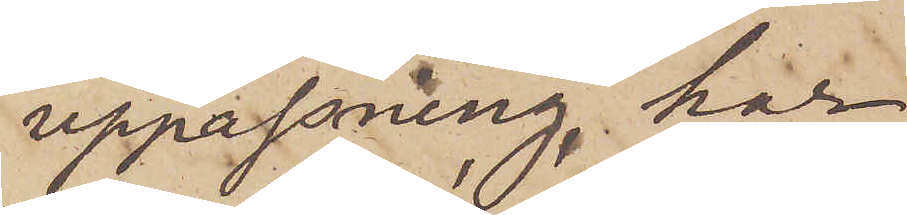uppassning, har
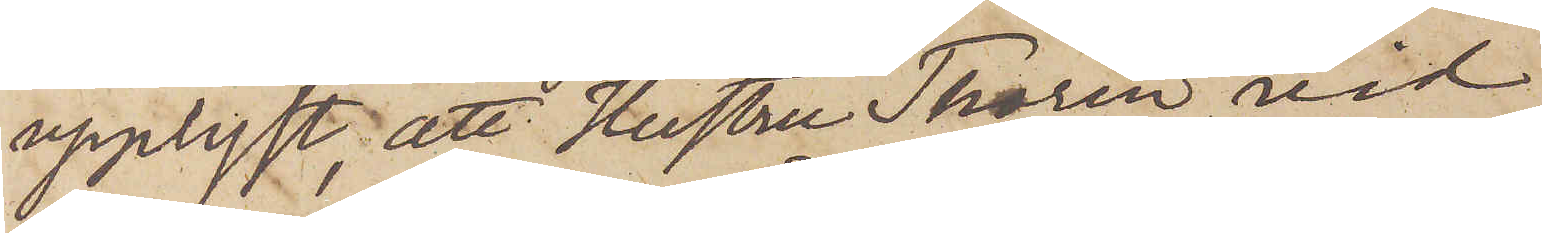upplyst, att Hustru Thorén vid
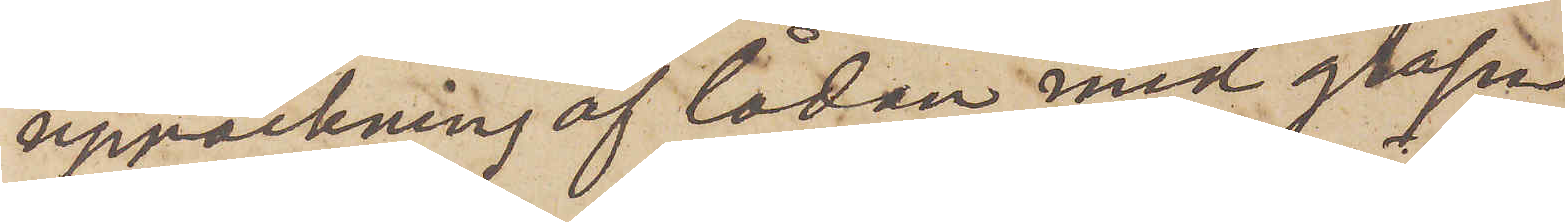uppackning af lådan med glasen
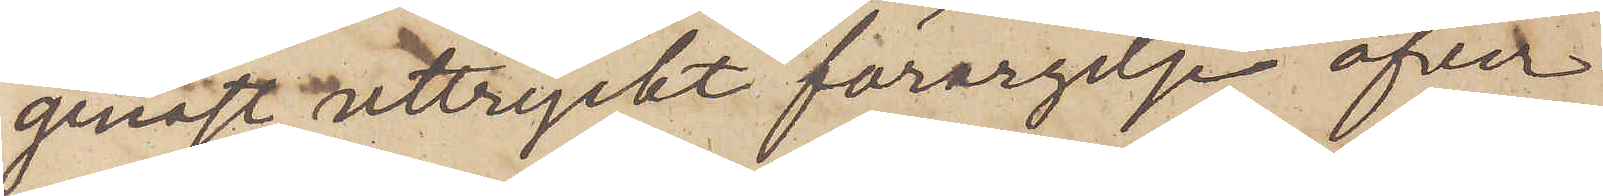genast uttryckt förargelse öfver
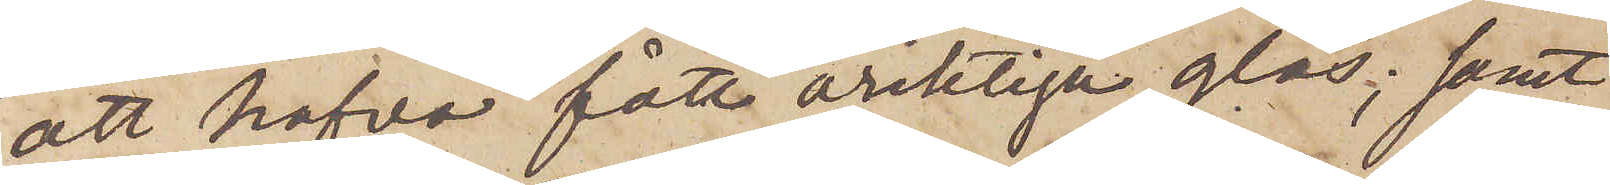att hafva fått oriktiga glas; samt
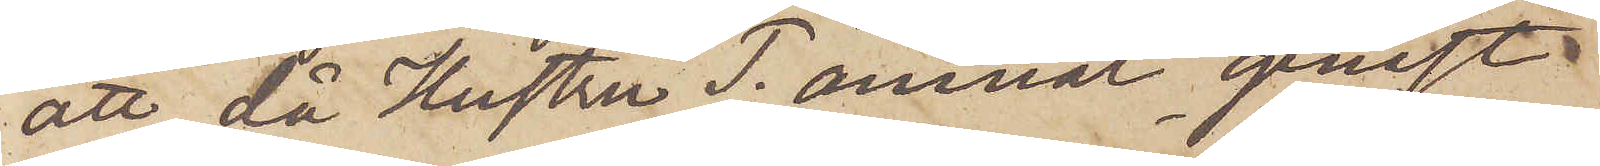att, då Hustru T. ämnat genast
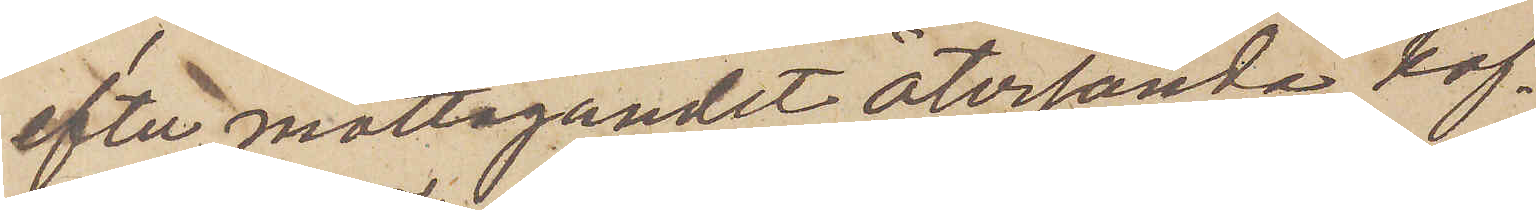efter mottagandet återsända kof¬
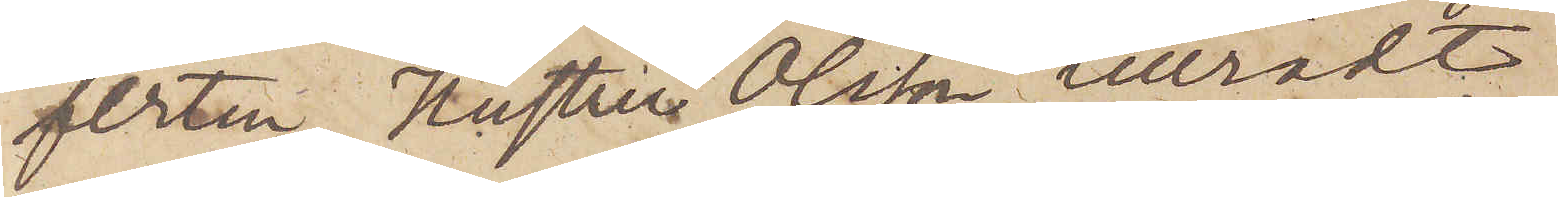ferten, Hustru Olsson tillrådt
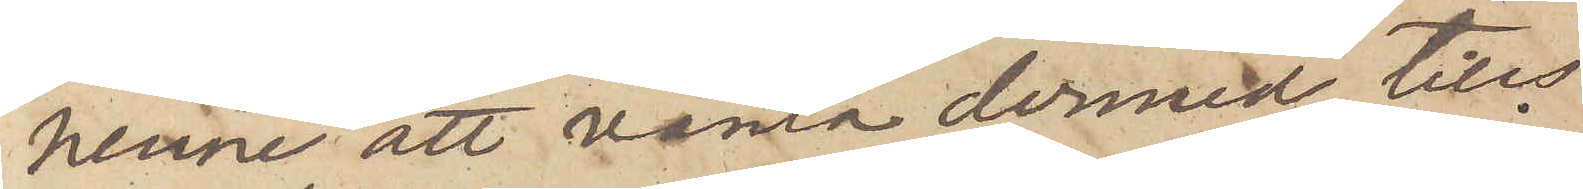henne att vänta dermed, tills
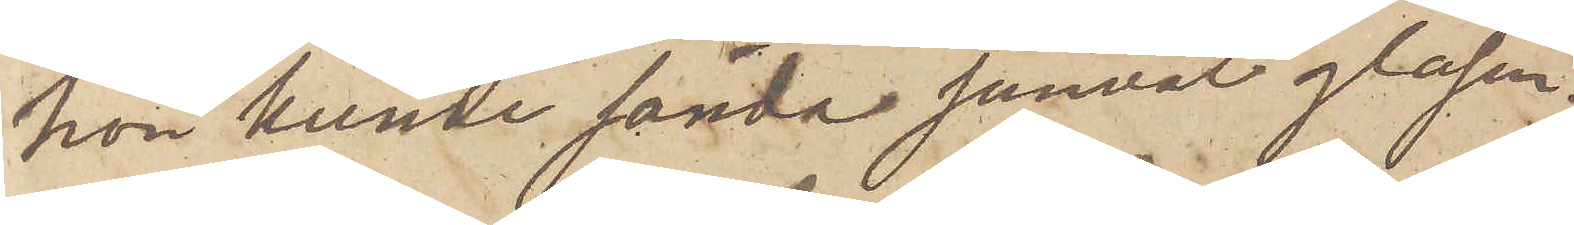hon kunde sända jemväl glasen.
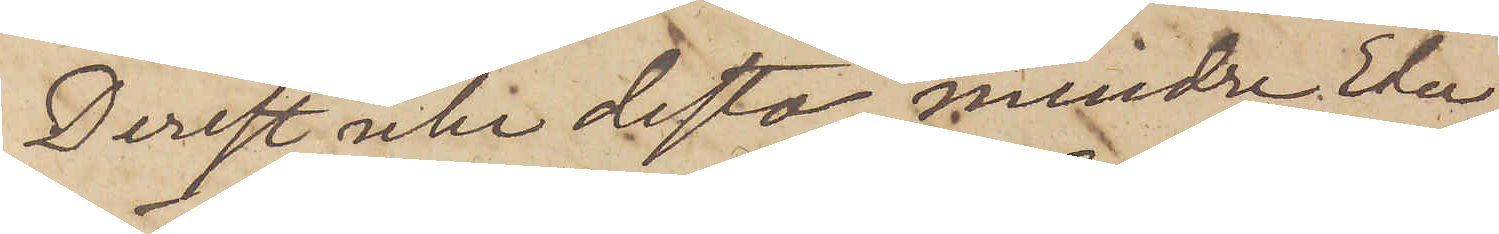Derest icke desto mindre Eder
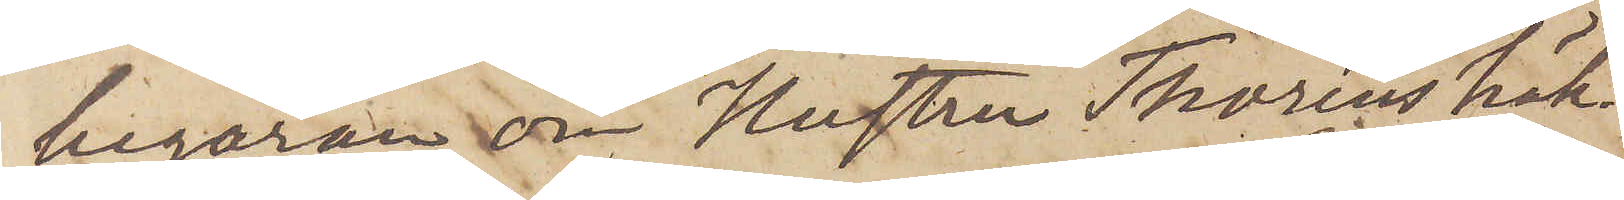begäran om Hustru Thoréns häk¬
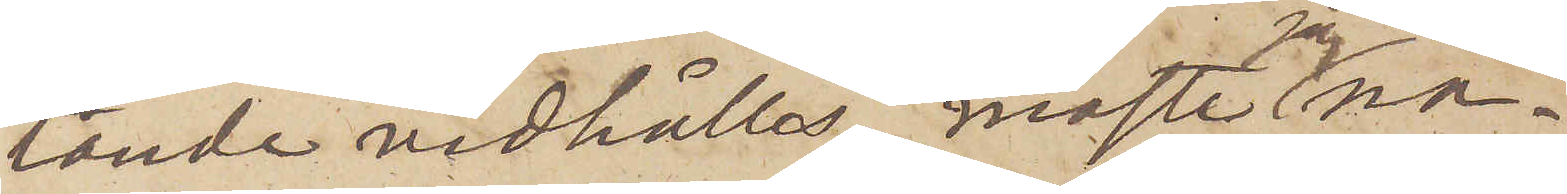tande vidhålles, måste jag na¬
